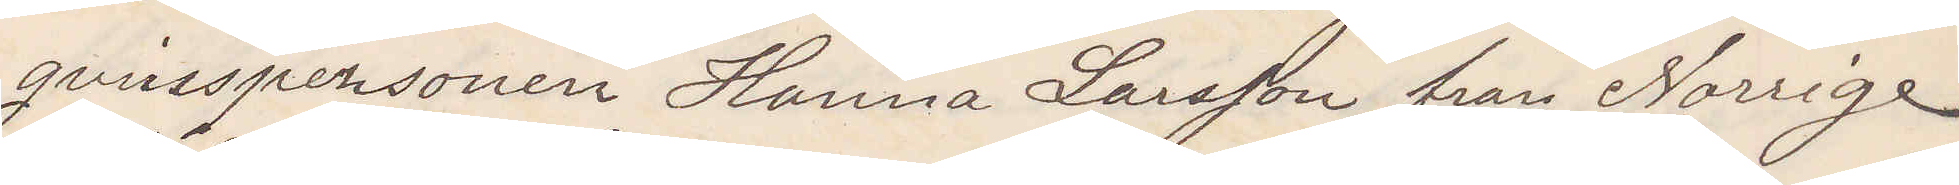qvinspersonen Hanna Larsson från Norrige
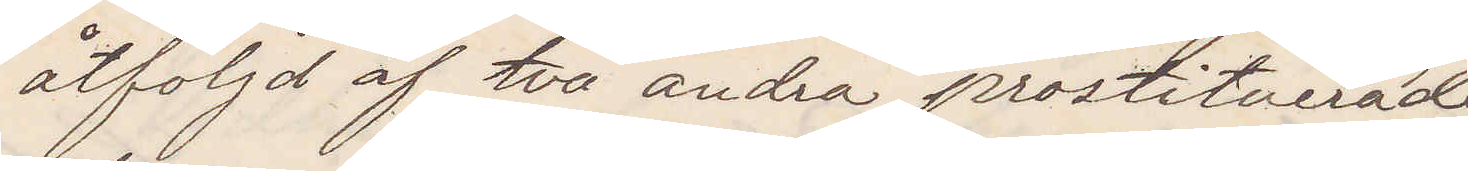åtföljd af två andra prostituerade
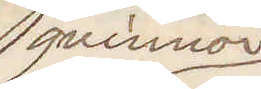qvinnor
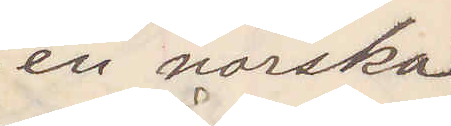en norska
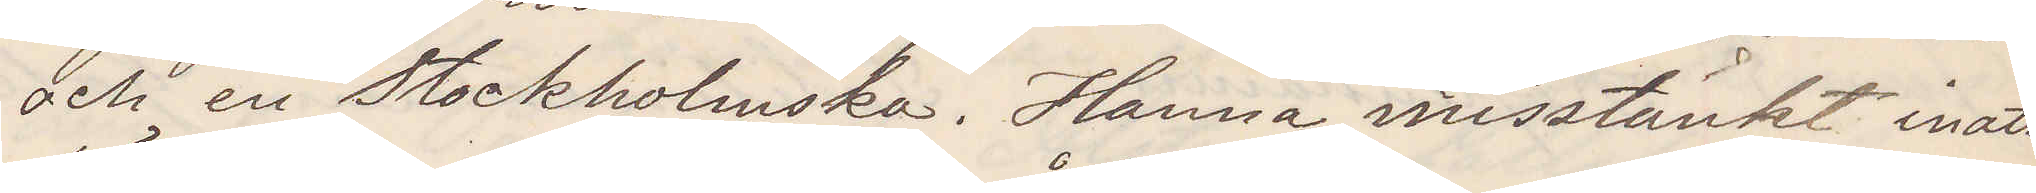och en Stockholmska. Hanna misstänkt inatt
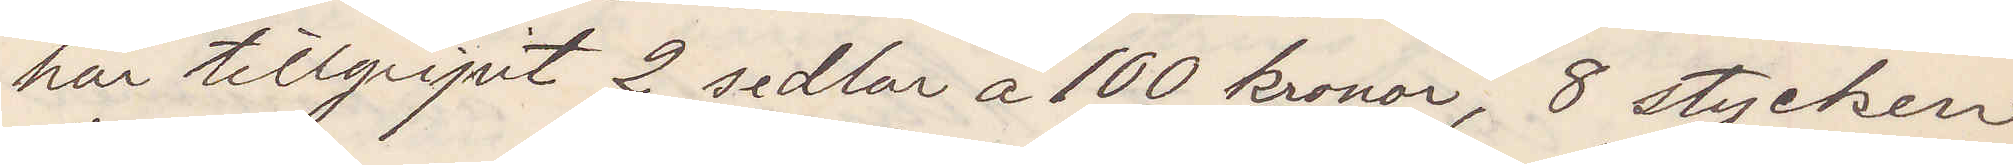här tillgripit 2 sedlar å 100 kronor, 8 stycken
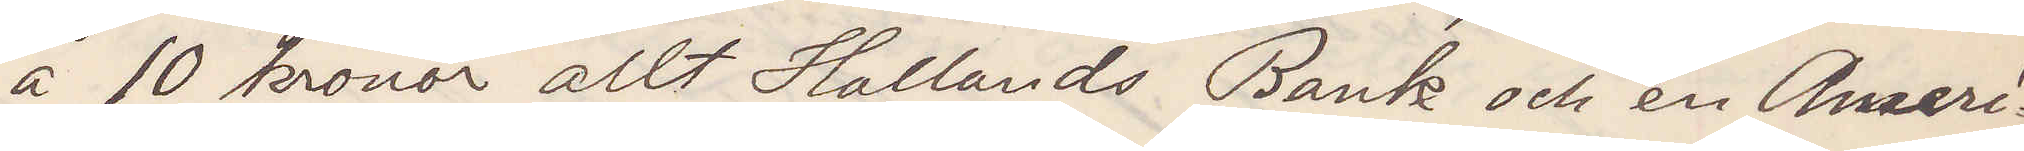å 10 kronor allt Hallands Bank och en Ameri¬
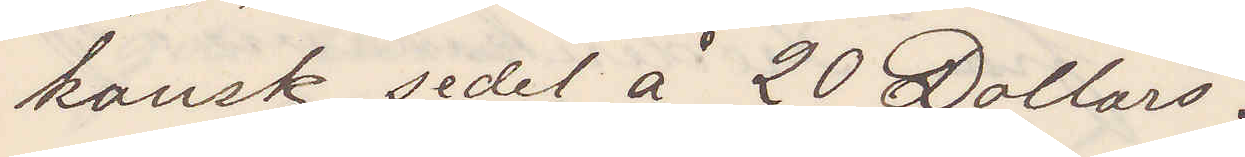kansk sedel å 20 Dollars.
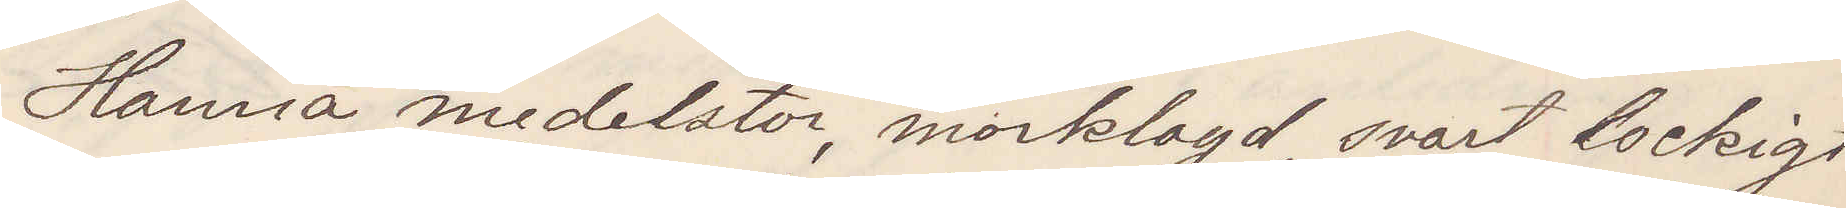Hanna medelstor, mörklagd, svart lockigt
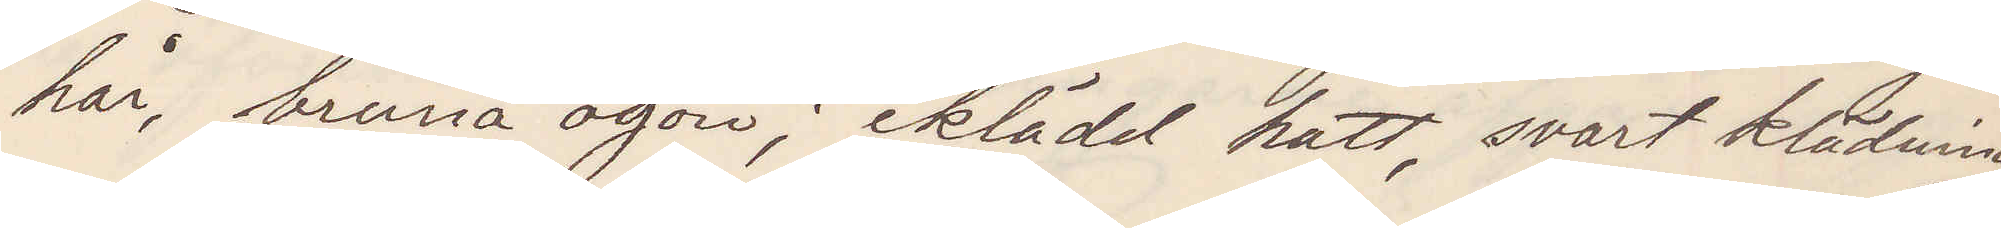hår, bruna ögon; iklädd hatt, svart klädning,
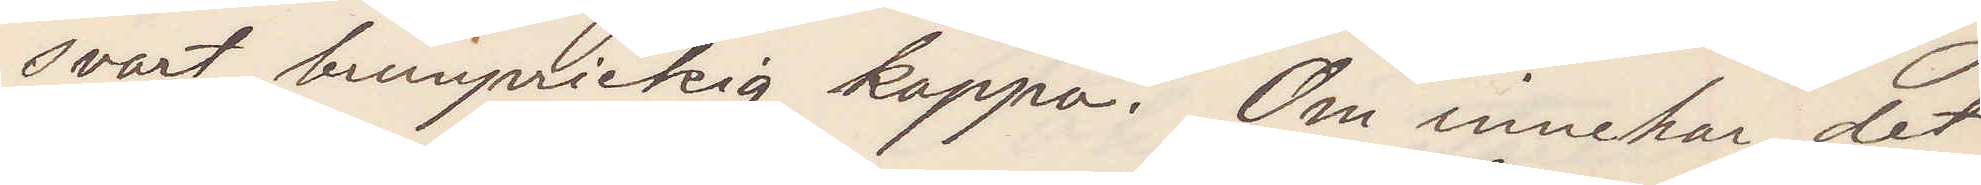svart brunprickig kappa. Om innehar det
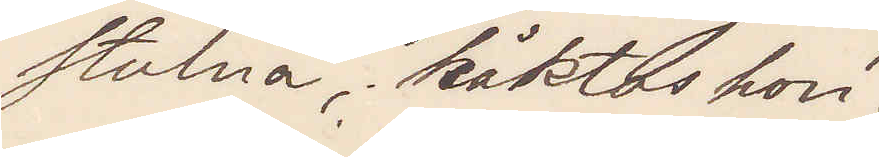stulna, häktas hon.
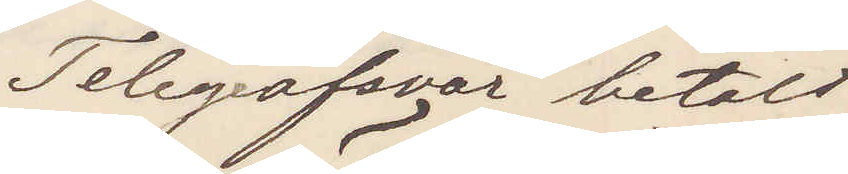Telegrafsvar betalt
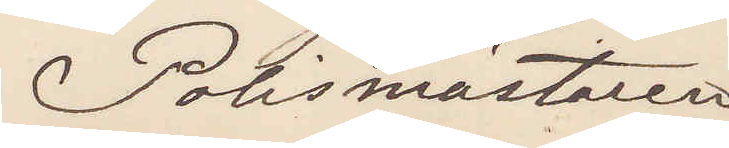Polismästaren
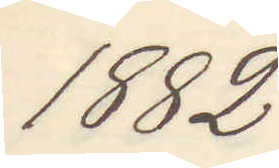1882
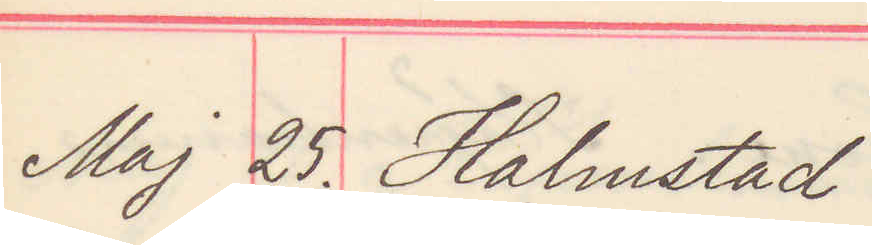Maj 25. Halmstad
